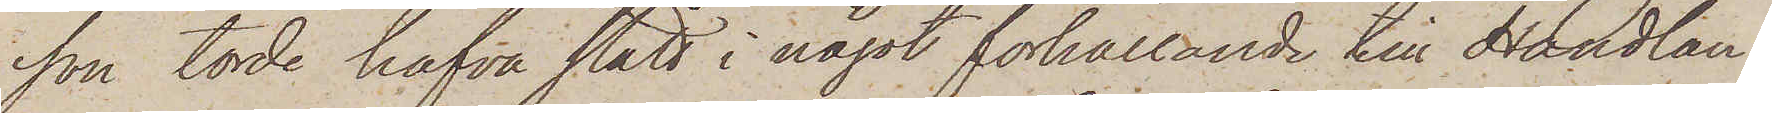son torde hafva stått i något förhållande till Handlan¬
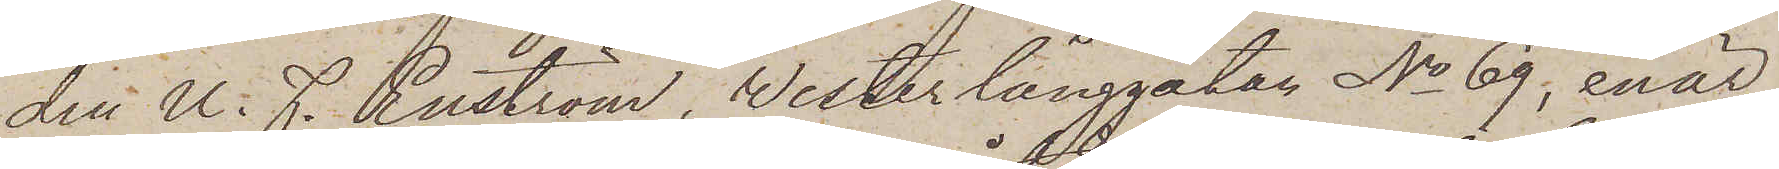den U. F. Renström, Westerlånggatan No 69, enär
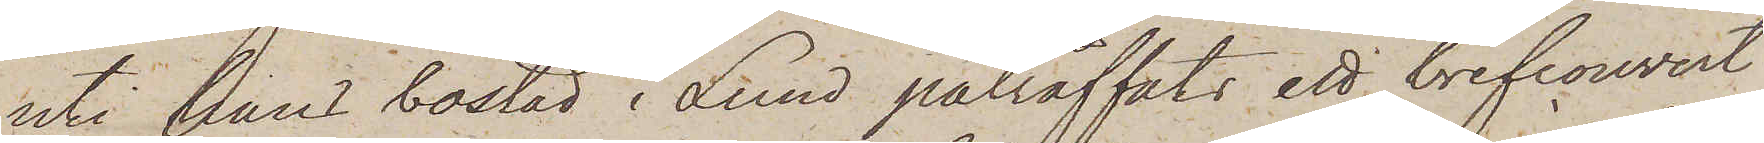uti hans bostad i Lund påträffats ett brefcouvert
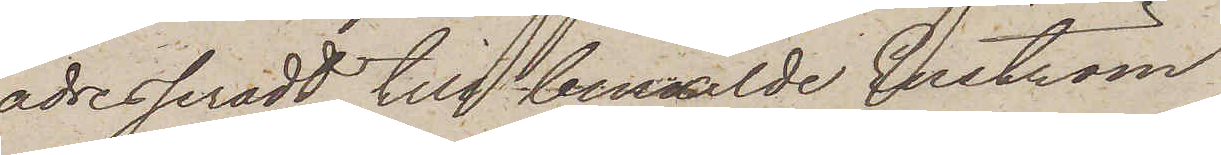adresseradt till bemälde Enström,
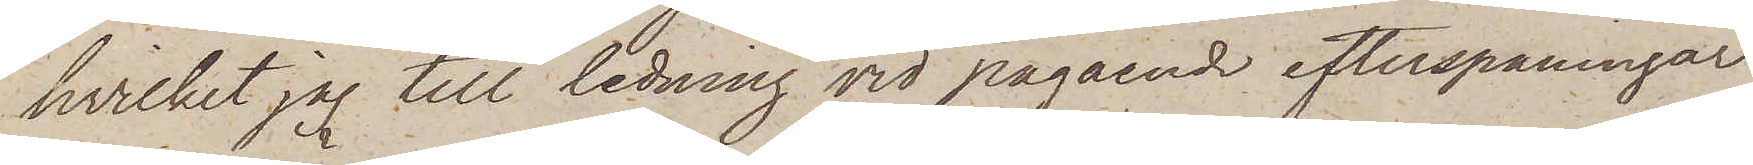hvilket jag till ledning vid pågående efterspaningar
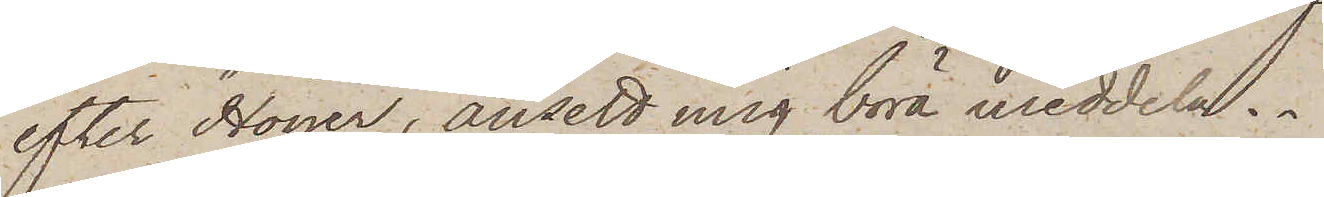efter Höijer, ansett mig böra meddela.
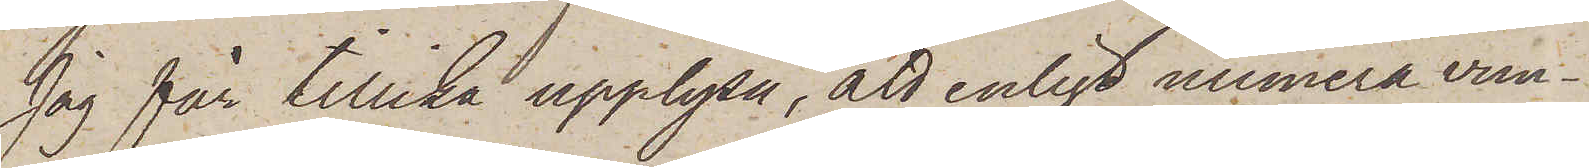Jag får tillika upplysa, att enligt numera vun¬
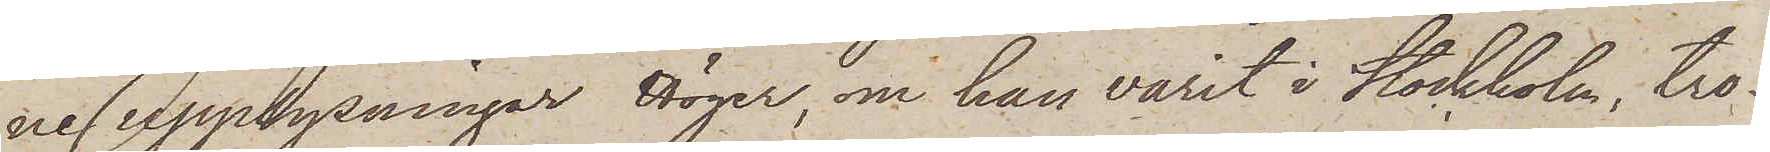ne upplysningar Höijer, om han varit i Stockholm, tro¬
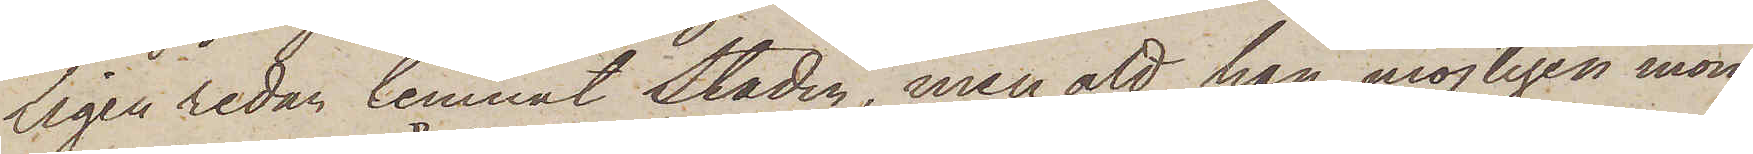ligen redan lemnat Staden, men att han möjligen inom
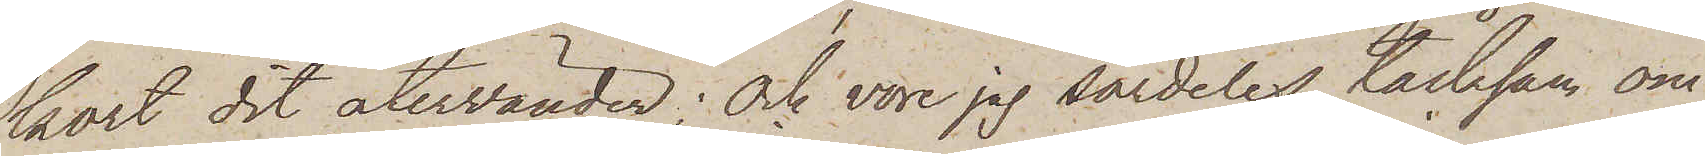kort dit återvänder; och vore jag särdeles tacksam om
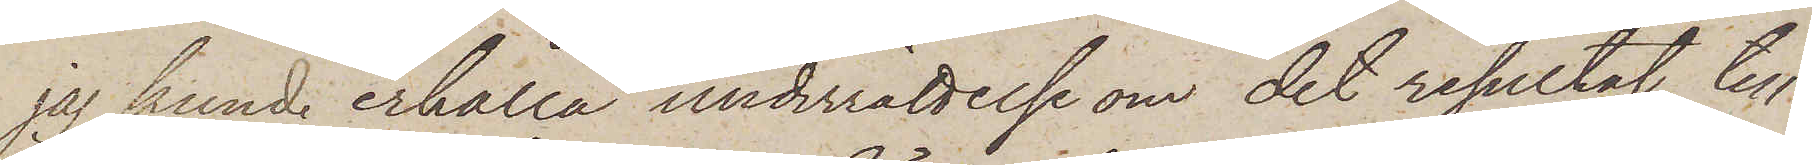jag kunde erhålla underrättelse om det resultat, till
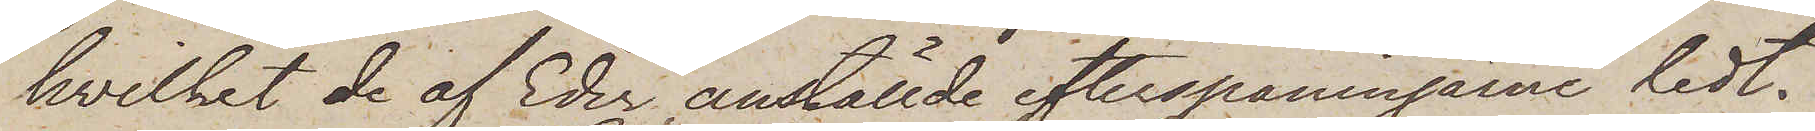hvilket de af Eder anställde efterspaningarne ledt.
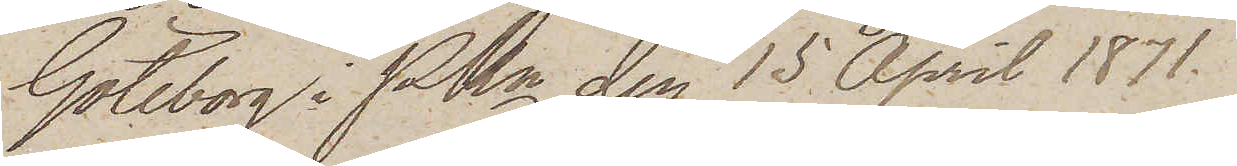Göteborg i Pkn den 15 April 1871.
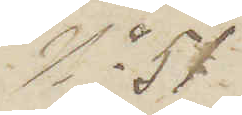No 51.
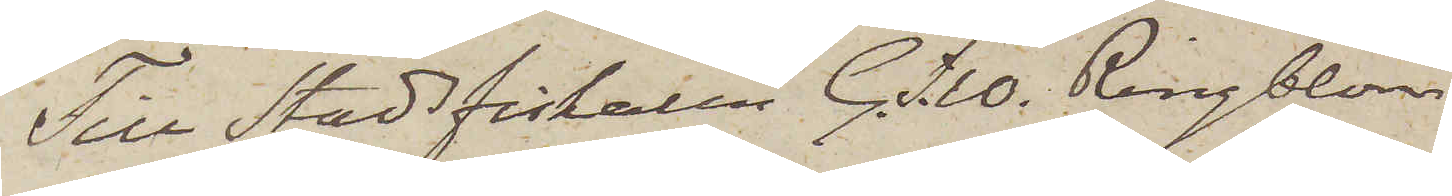Till Stadsfiskaren G. F. W. Ringblom
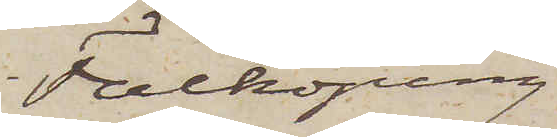Falköping.
